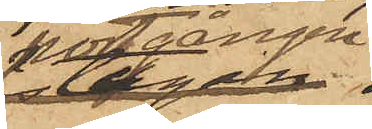portgången
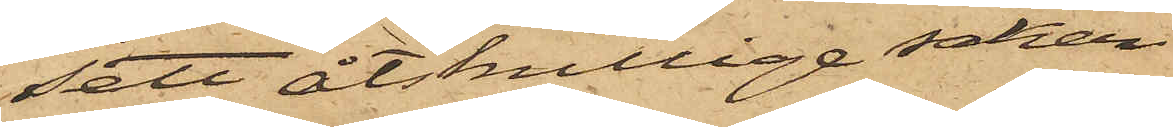sett åtskillige saker
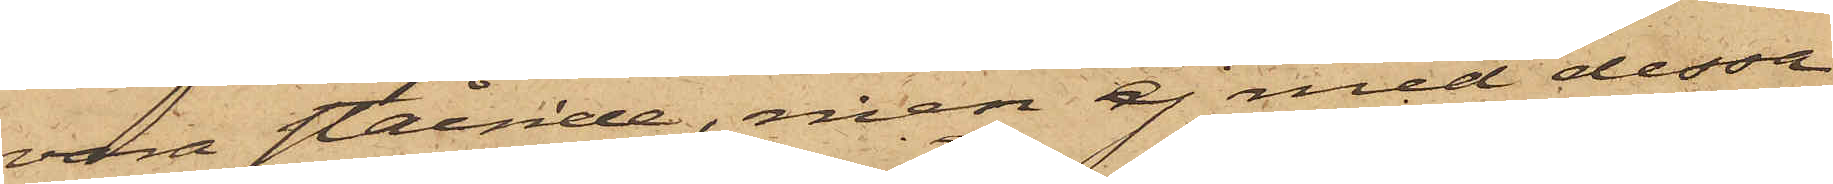vara stående, men ej med dessa
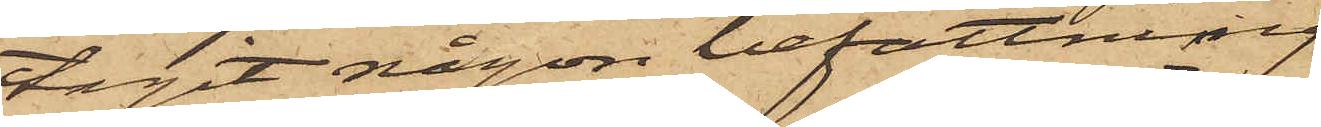tagit någon befattning.
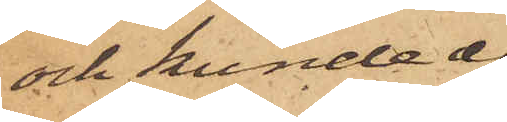och kunde ej
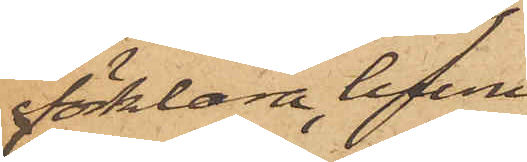förklara, huru
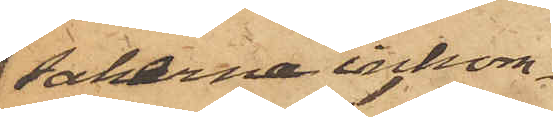sakerna inkom¬
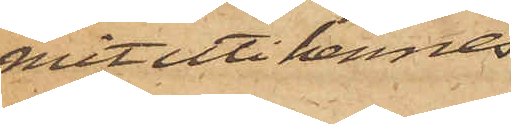mit uti hennes
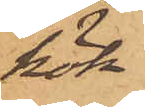kök.
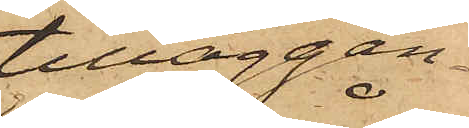tilläggan¬
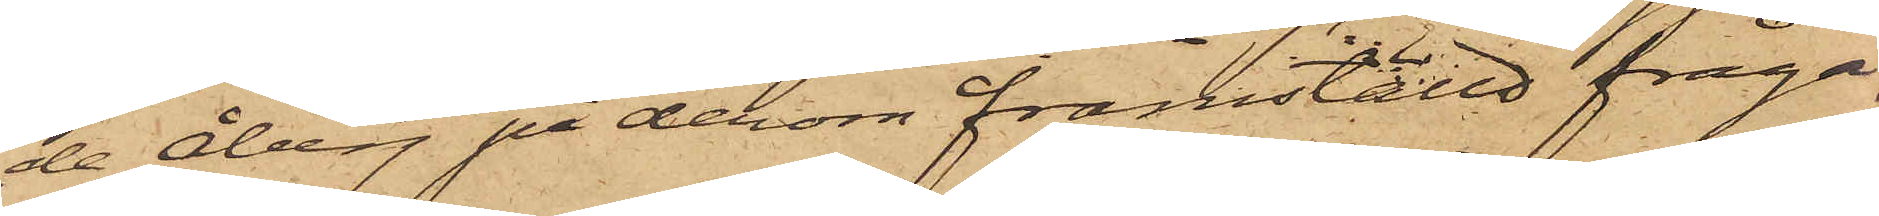de Åberg på derom framställd fråga,
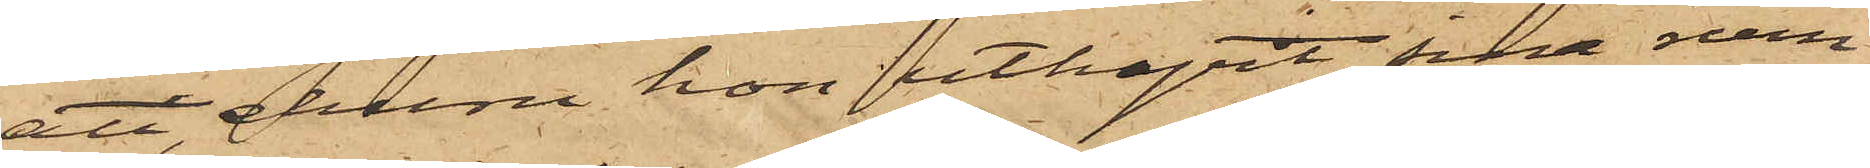att, ehuru hon uthyrt sina rum
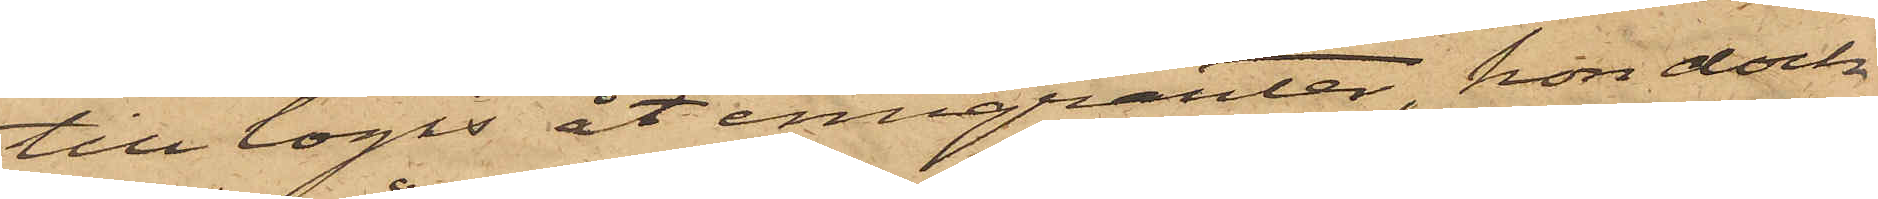till logis åt emigranter, hon dock
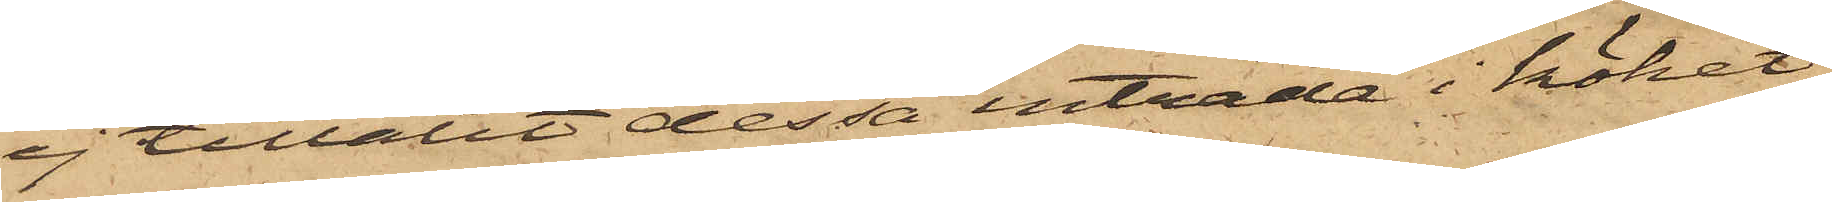ej tillåtit dessa inträda i köket,
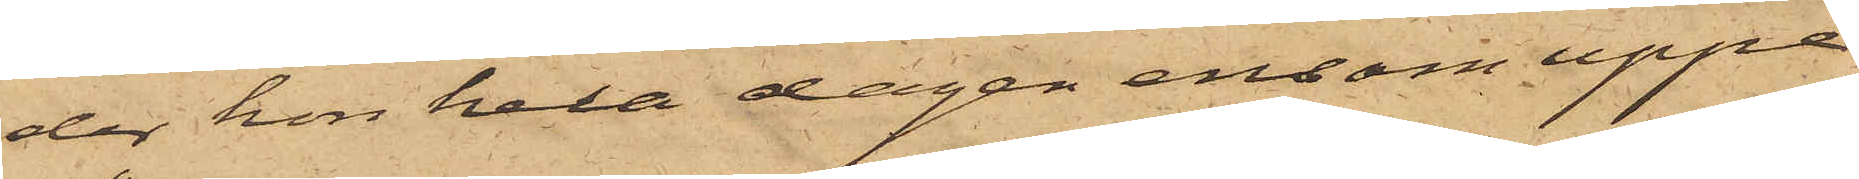der hon hela dagen ensam uppe¬
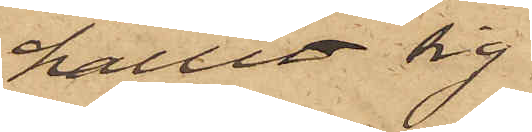hållit sig.
